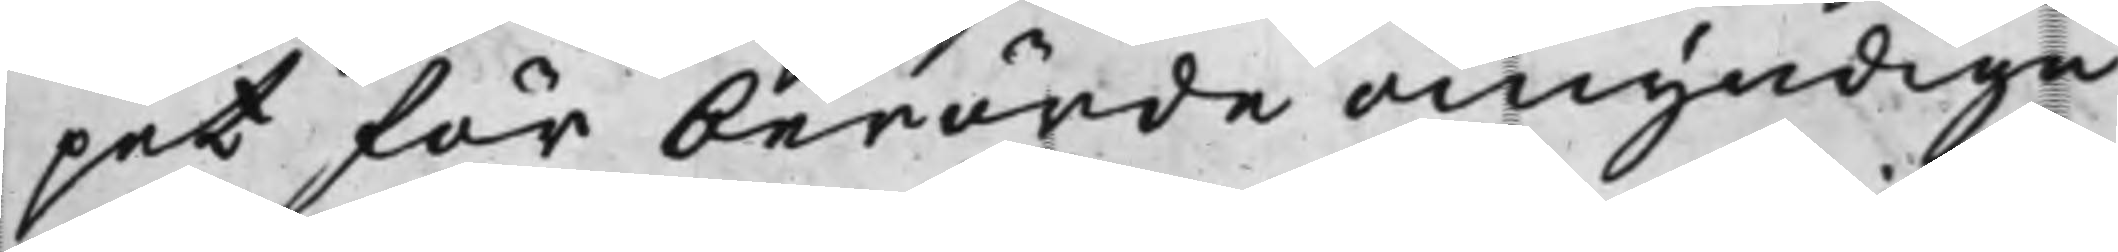pet för berörde omyndiga
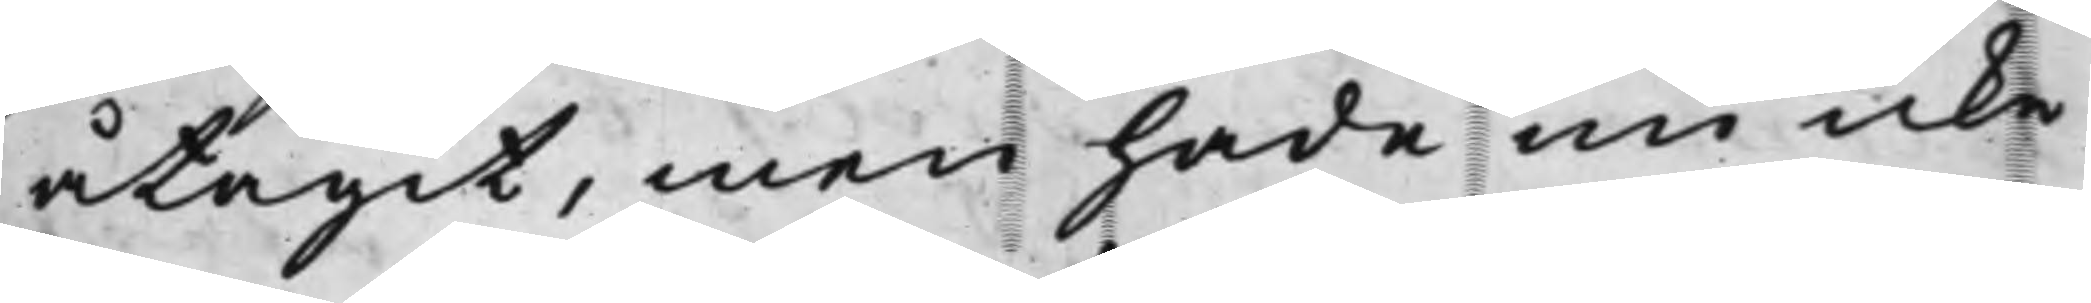åtagit, men hade nu icke
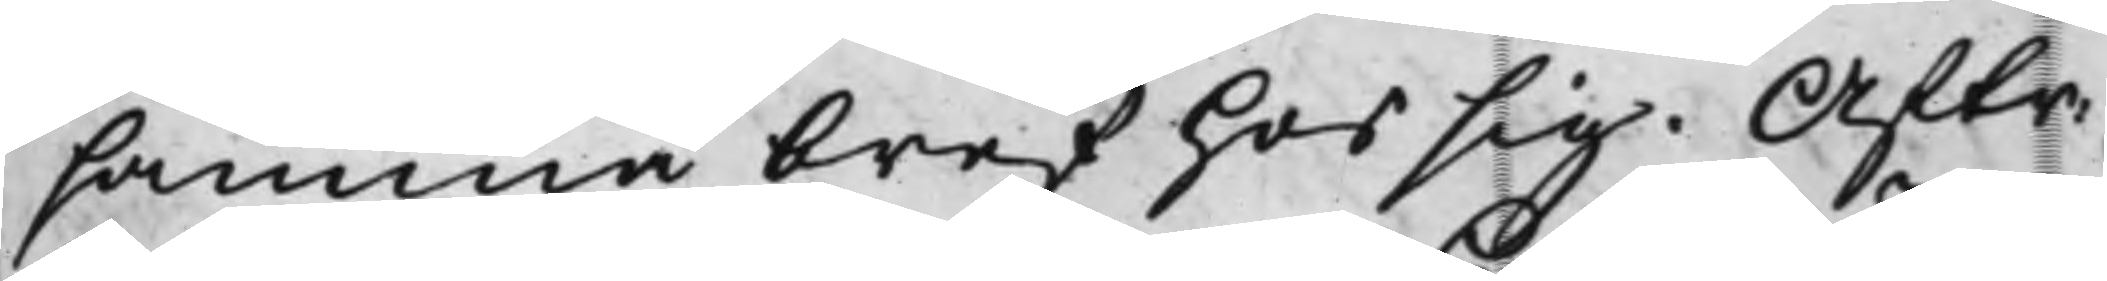samma bref hos sig. Aftr:
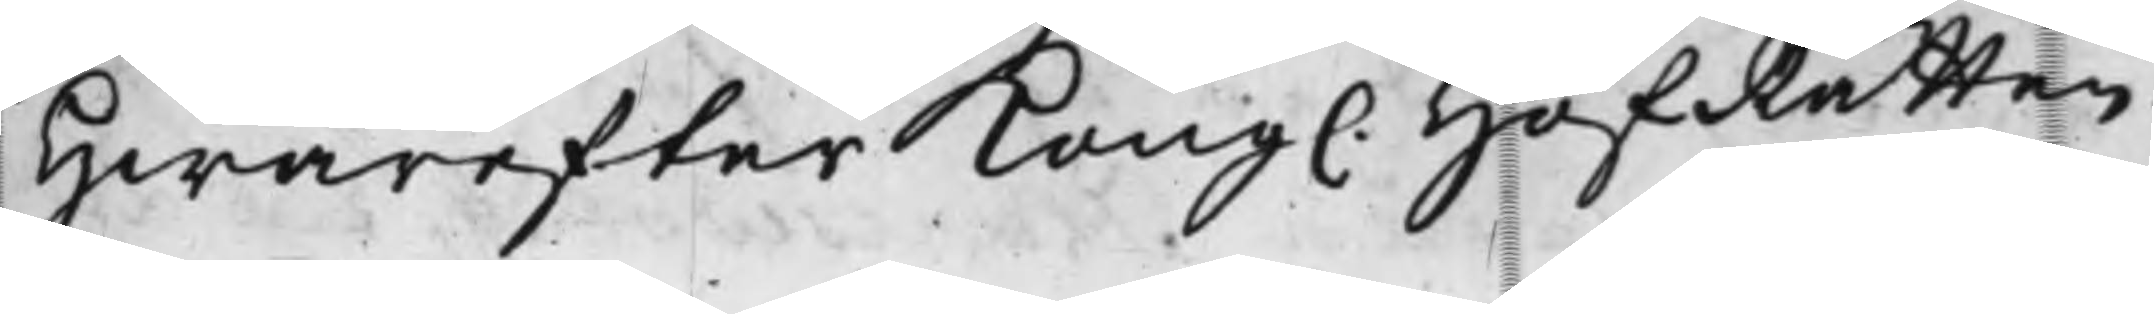Hwarefter Kong. HofRätten
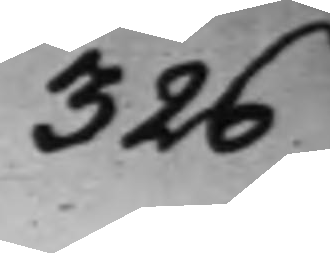326
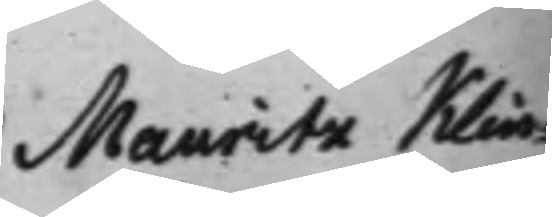Mauritz Klin¬
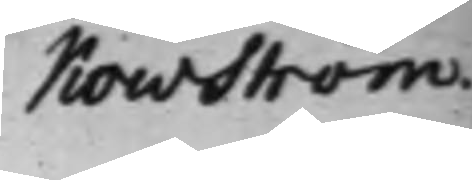Kowström.
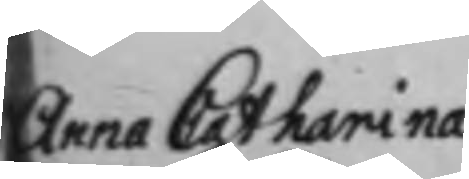Arca Catharina  D: denom ingifwen Skrift be¬ 
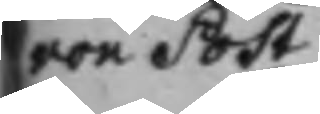von Poh¬ 
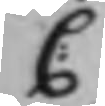C:
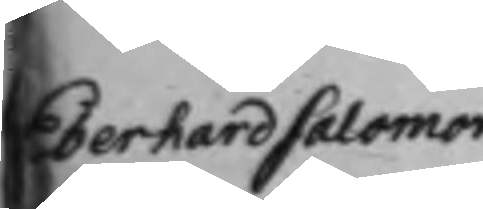Edertardsalömo
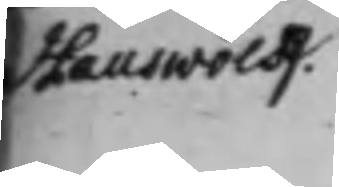Hauswolff.
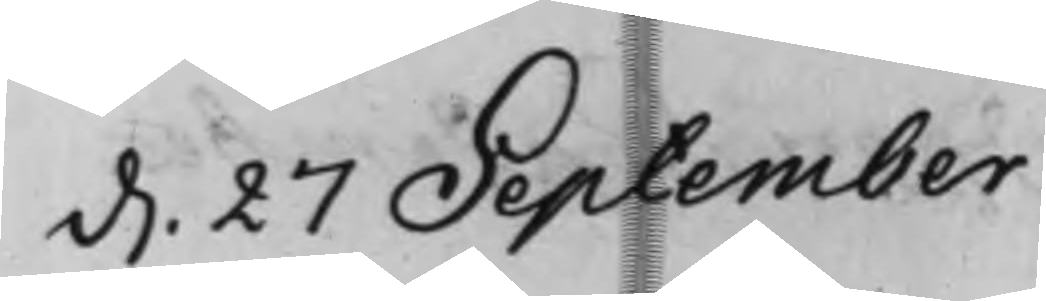d. 27 September 
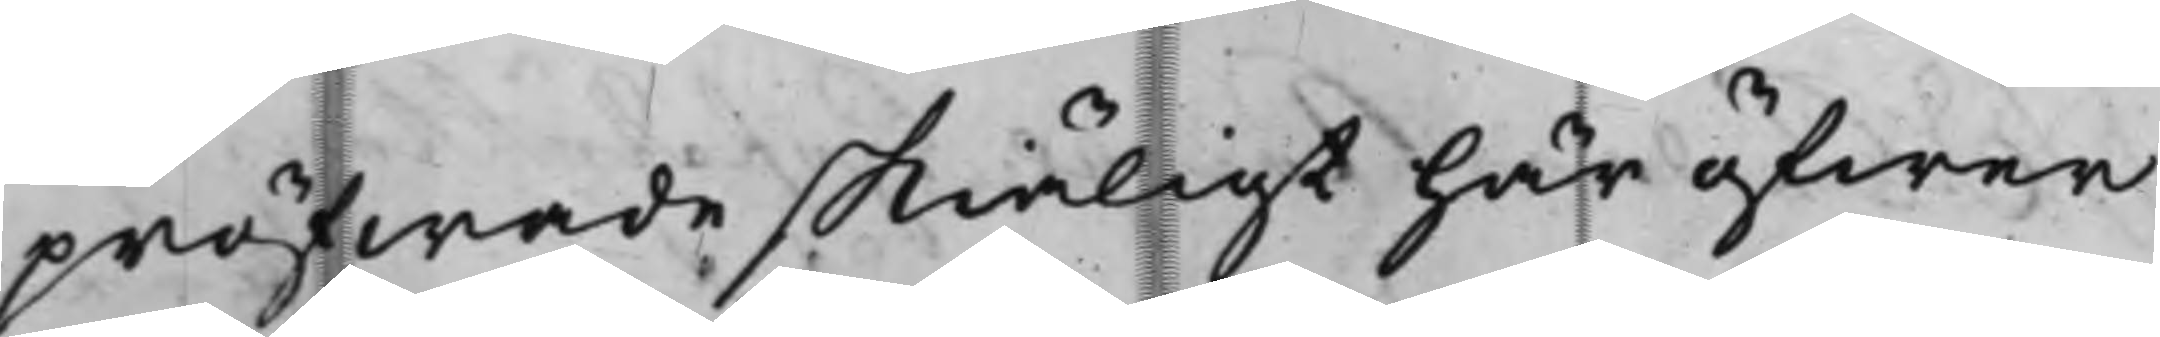pröfwade skiäligt här öfwer
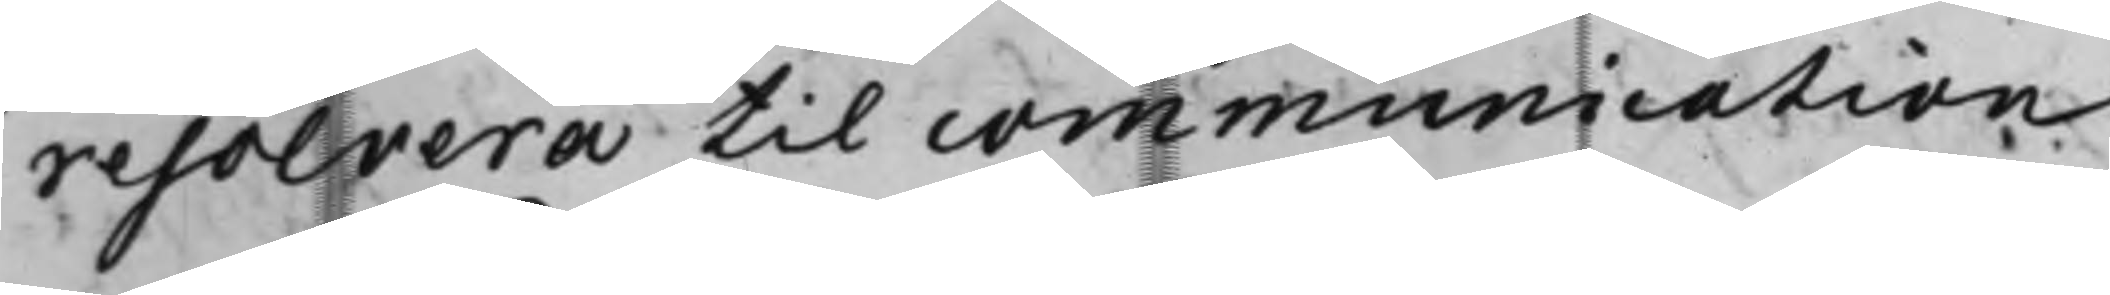resolvera till communication
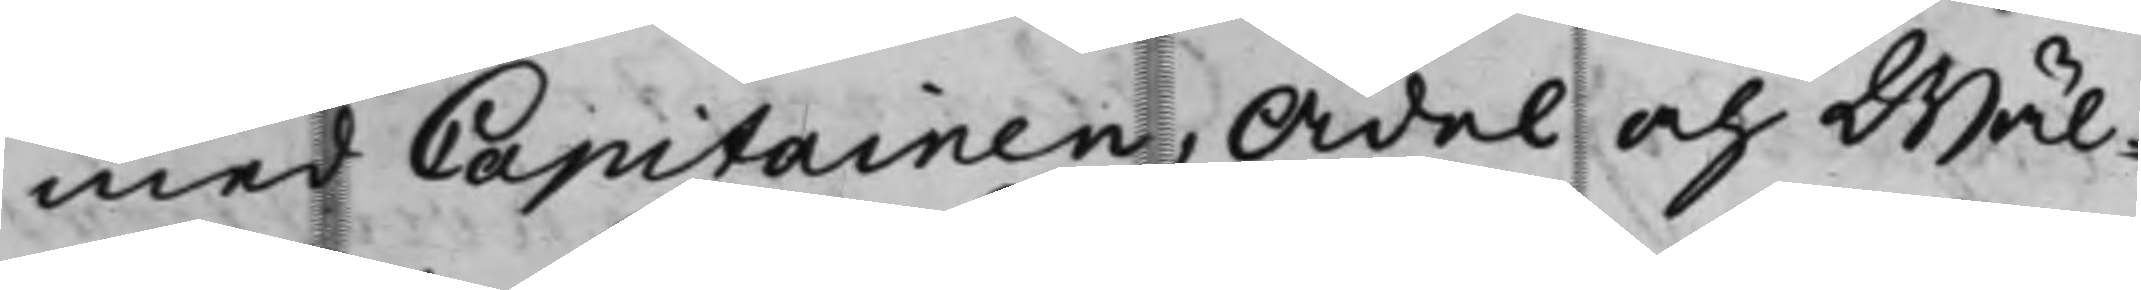med Capitainen, Ädel och Wäl¬
